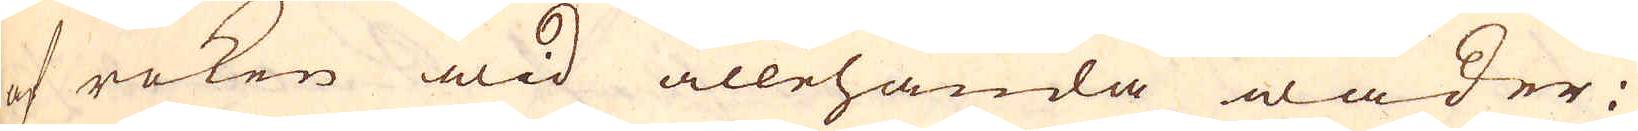af röken wid allehanda wäder.
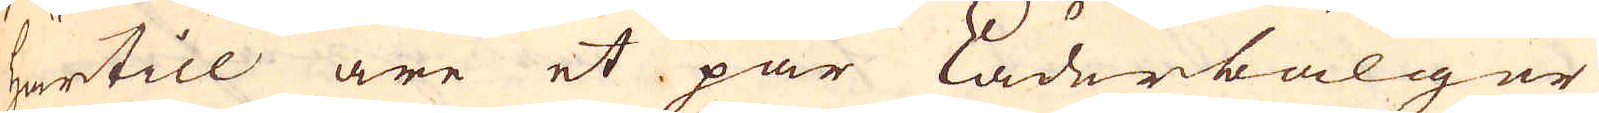härtill äre et par läderbälger
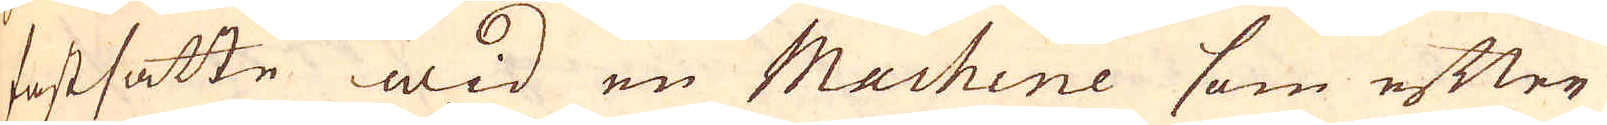fastsatte wid en Machine som efter
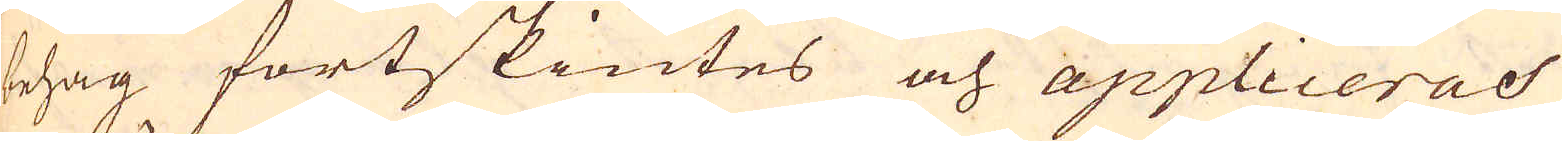behag fortskiutes och appliceras
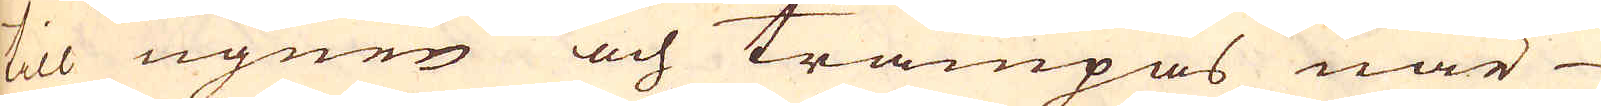till ugnen och trampas när
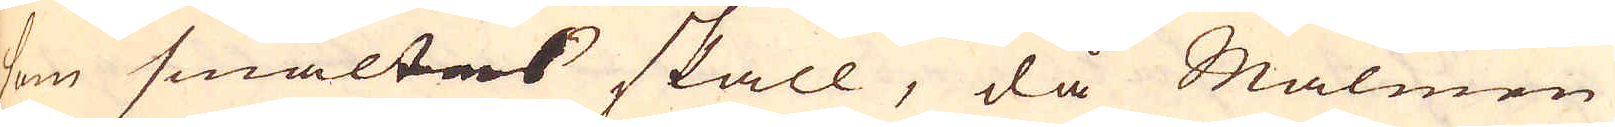som smältas skall, då Malmen
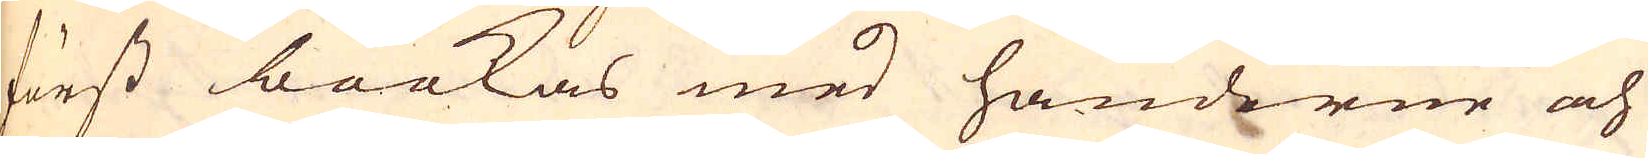först bookas med händerne och
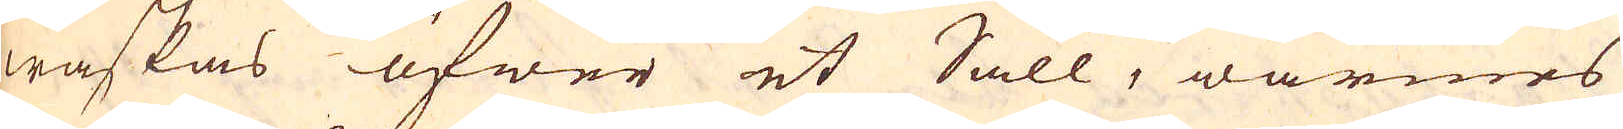waskas öfwer et Såll, wärmes
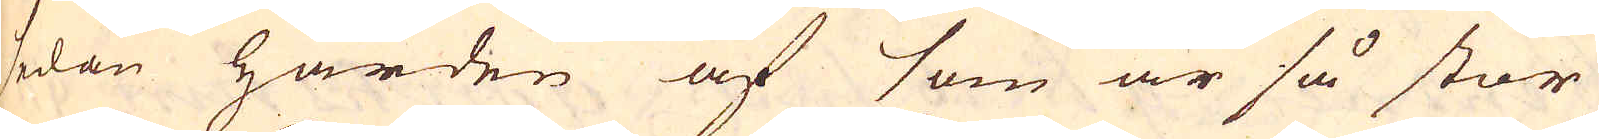sedan härden af som är så stor
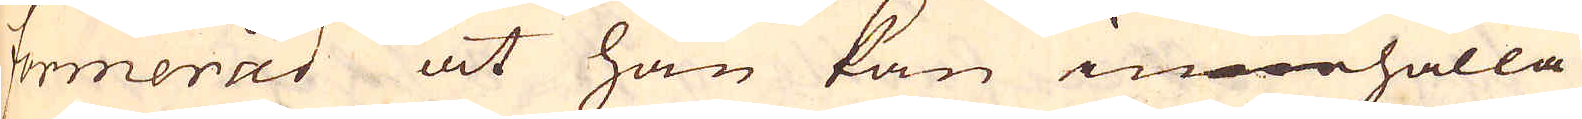formerad at han kan innehålla
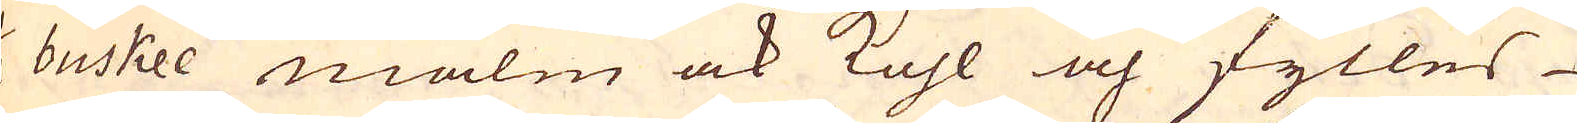1/2 buskee malm ock kohl och fylles
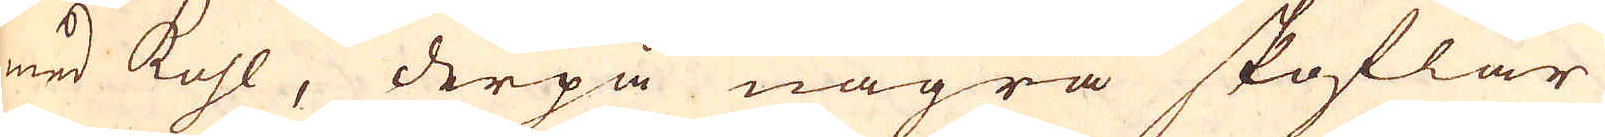med kohl, derpå några skoflar
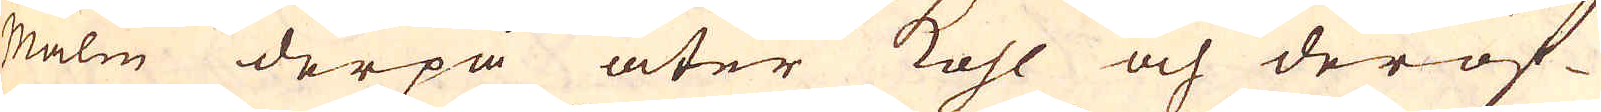Malm derpå åter kohl och deröf-
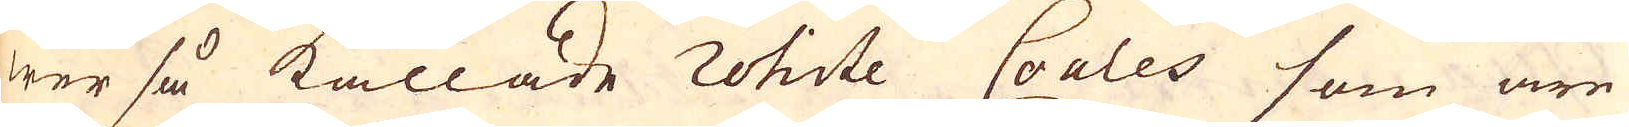wer så kallade rohite Coales som äre
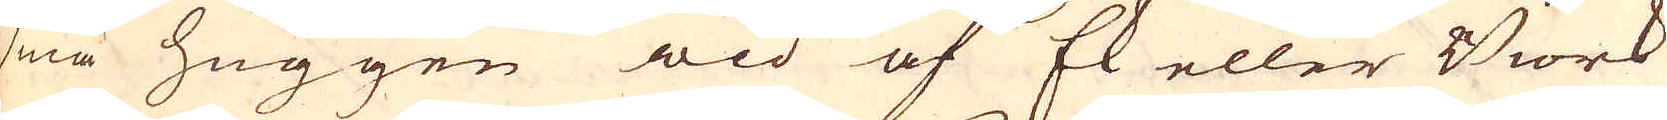små huggen wid af Ek eller Biörk
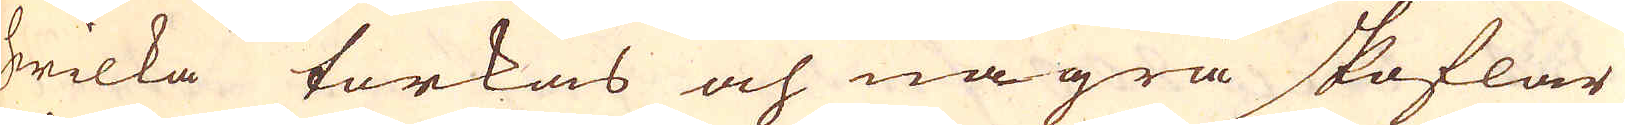hwilka torkas och några skoflar
